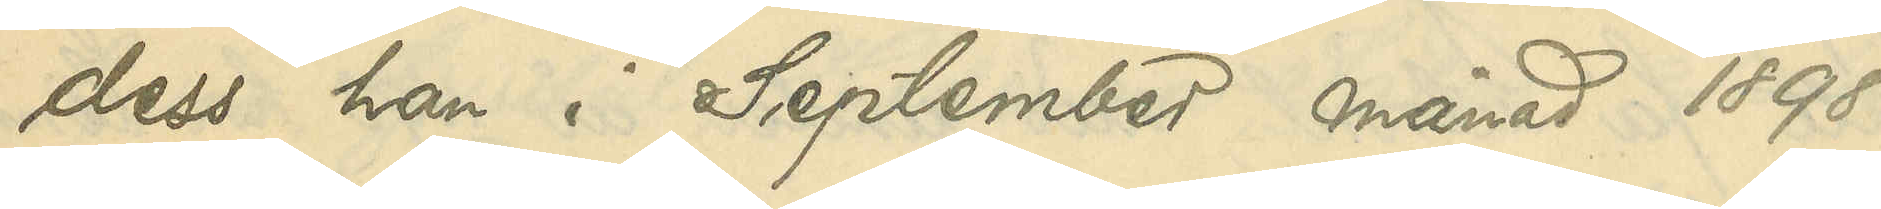dess han i September månad 1898
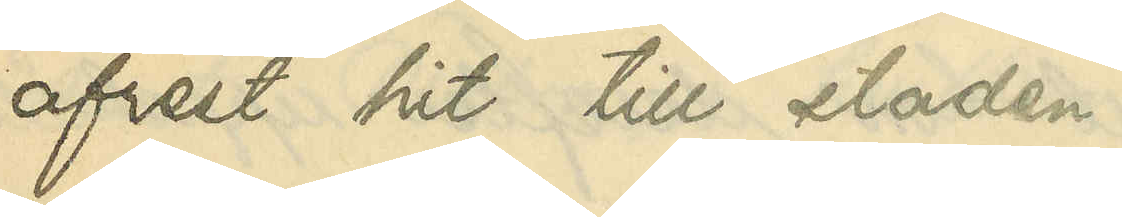afrest hit till staden.
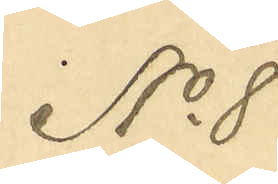No 8
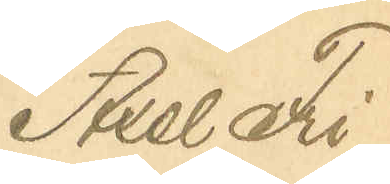Axel Fri¬
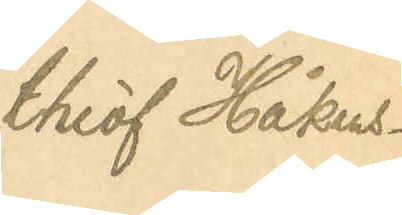thiof Håkans¬
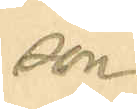son
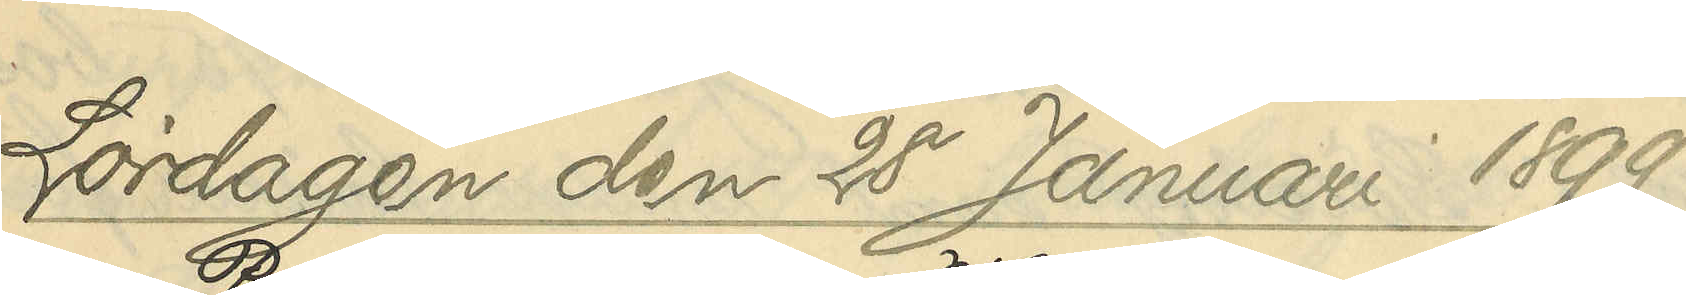Lördagen den 28 Januari 1899
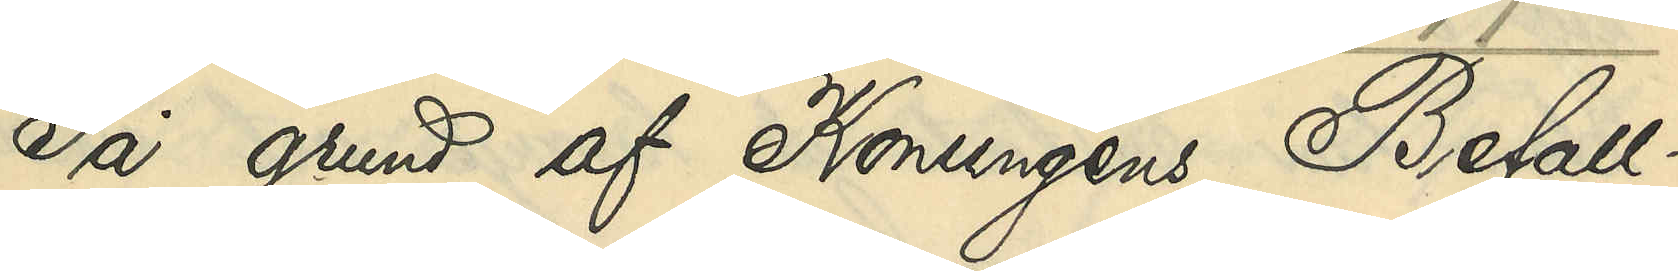På grund af Konungens Befall¬
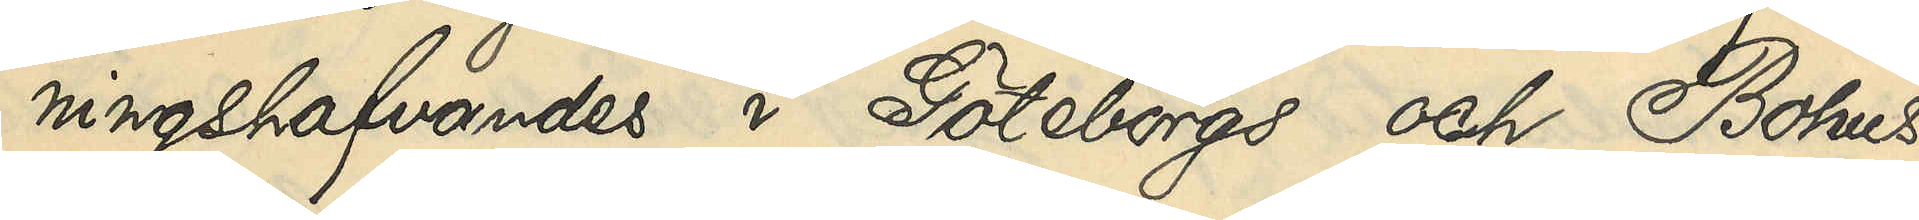ningshafvandes i Göteborgs och Bohus
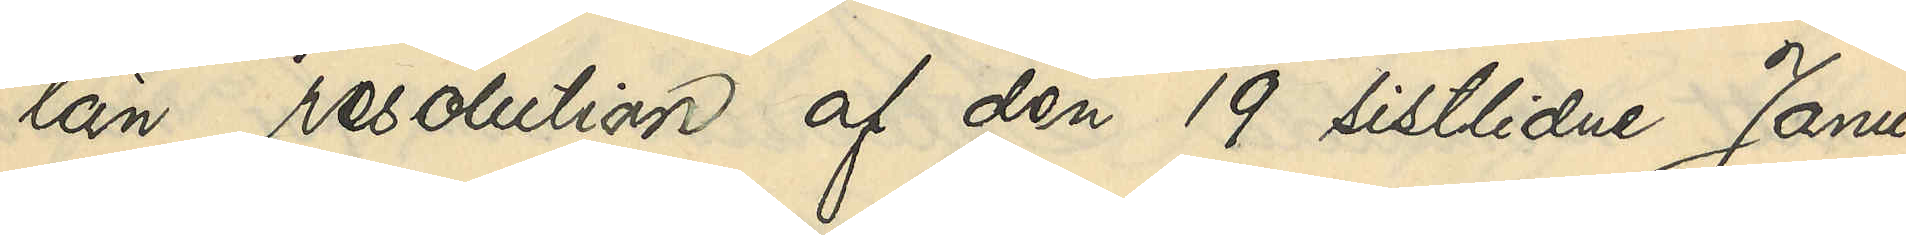län resolution af den 19 sistlidne Janu¬
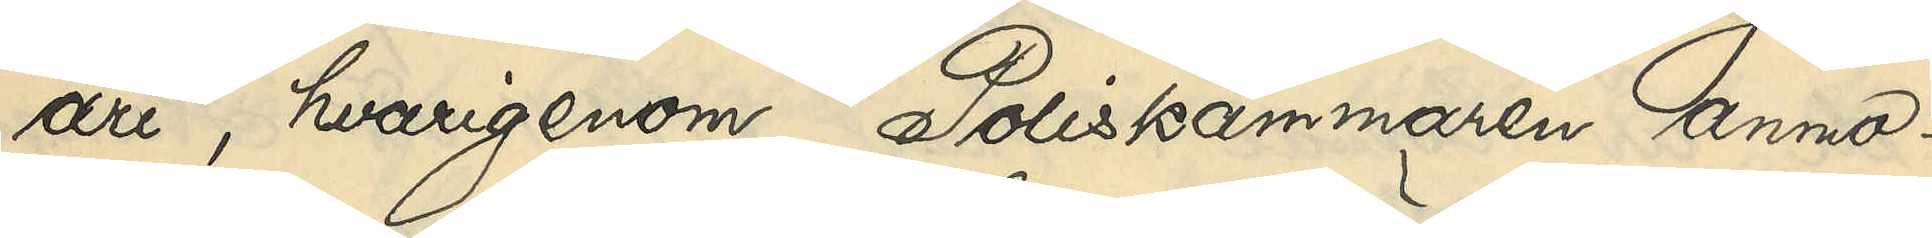ari, hvarigenom Poliskammaren anmo¬
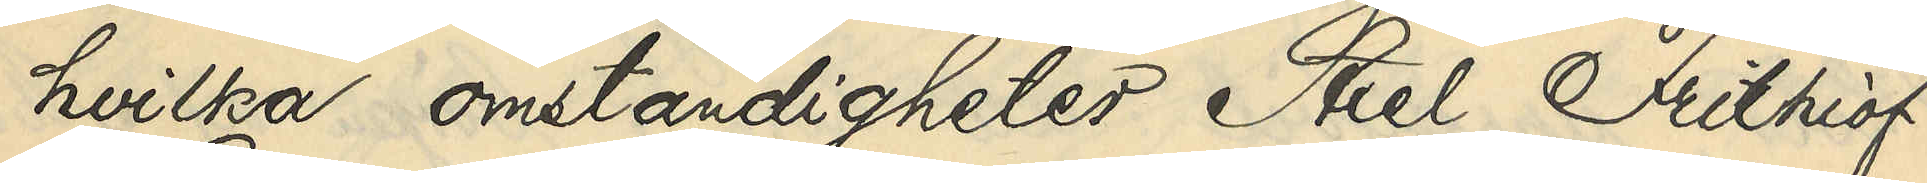hvilka omständigheter Axel Frithiof
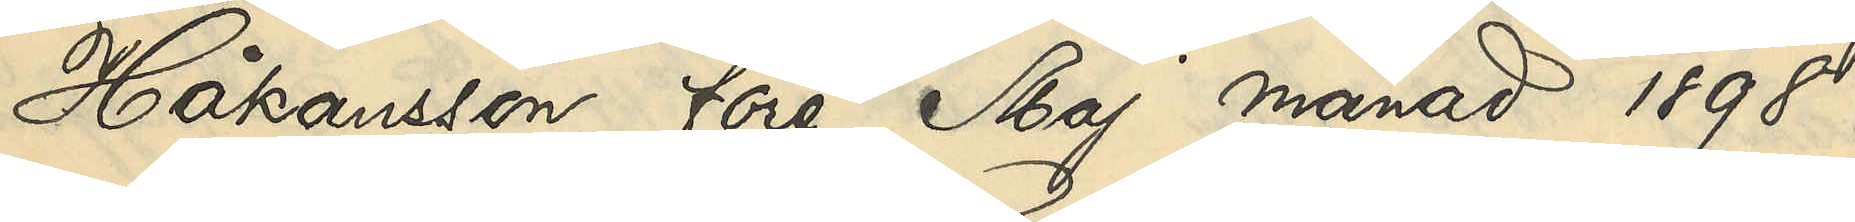Håkansson före Maj månad 1898
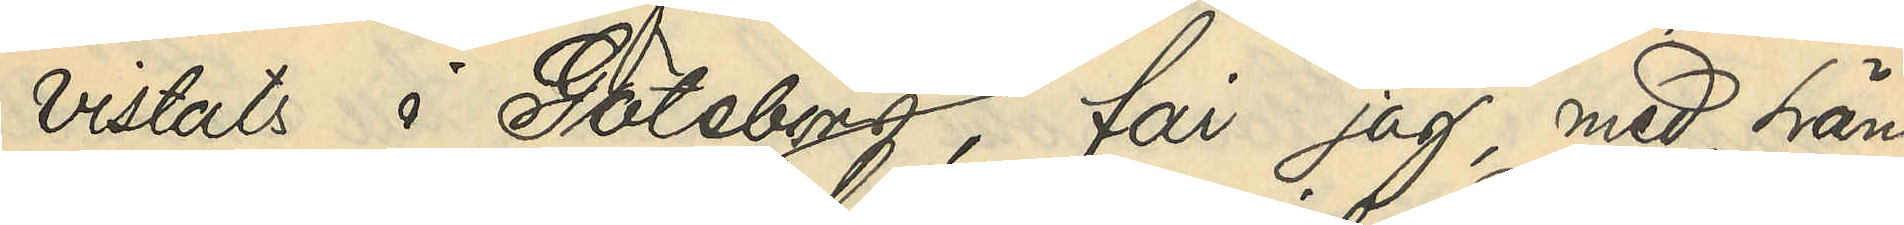vistats i Göteborg, får jag, med hän¬
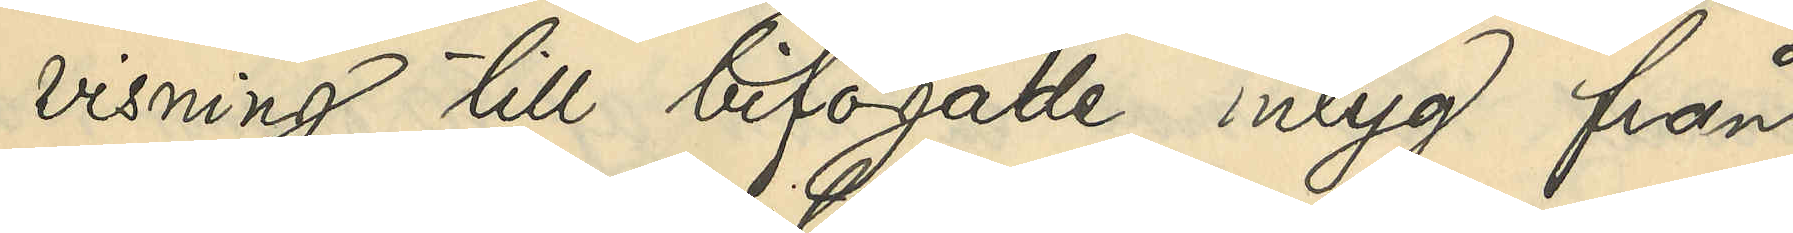visning till bifogade intyg från
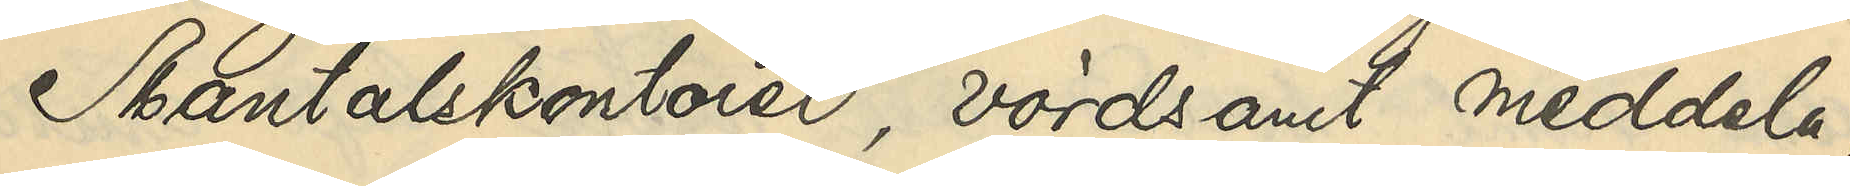Mantalskontoret, vördsamt meddela,
